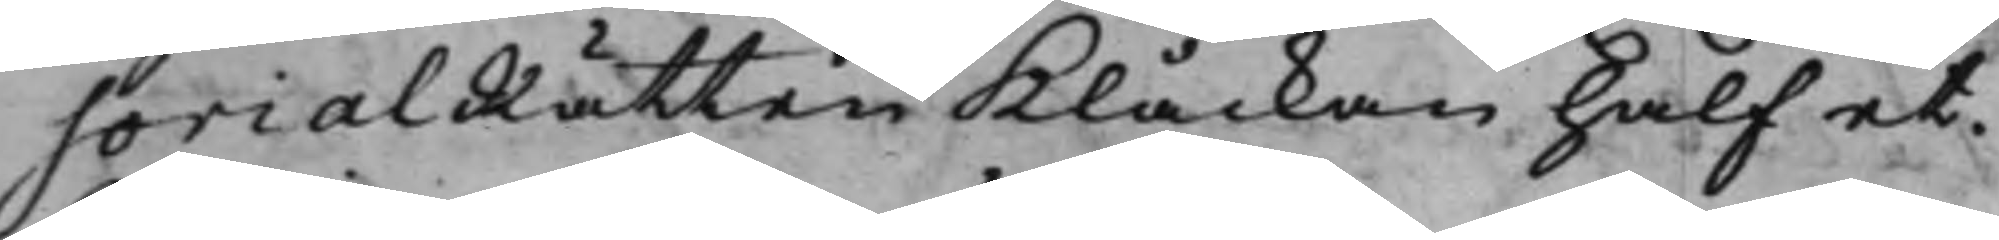sorialRätten Klåckan half et.
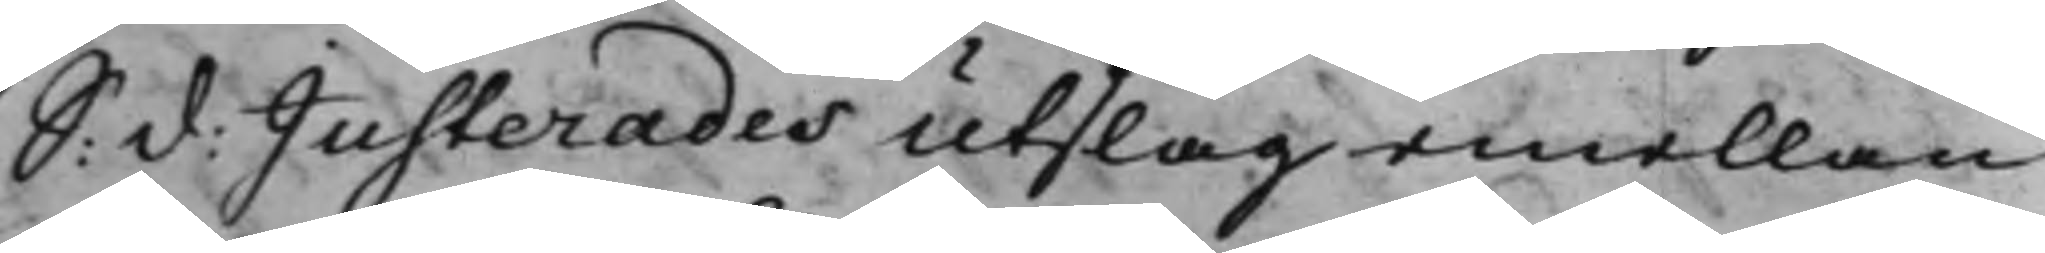S: d: Justerades Utslag emellan
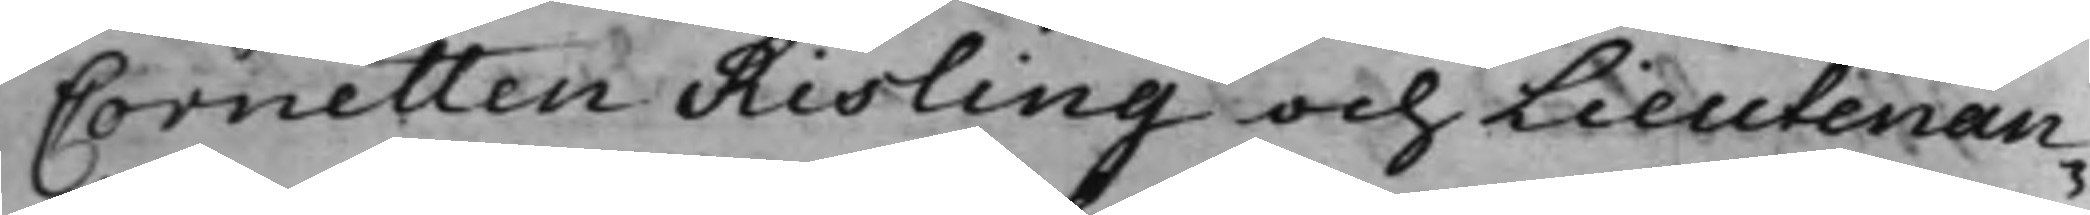Cornetten Risling och Lieutenan¬
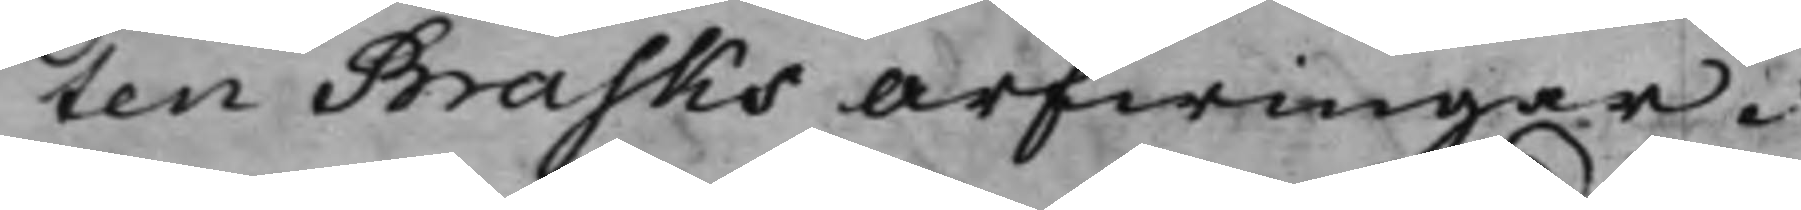ten Brasks Arfwingar.
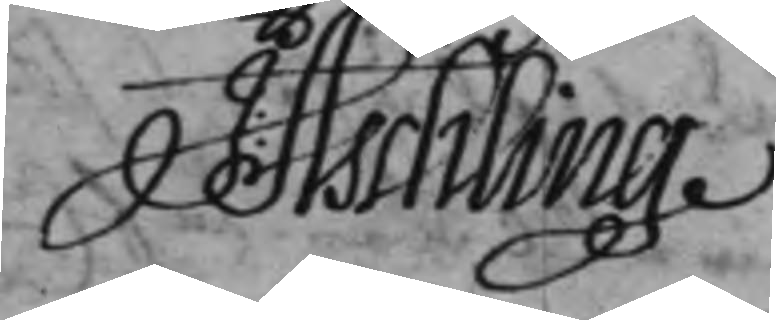J: Aschling
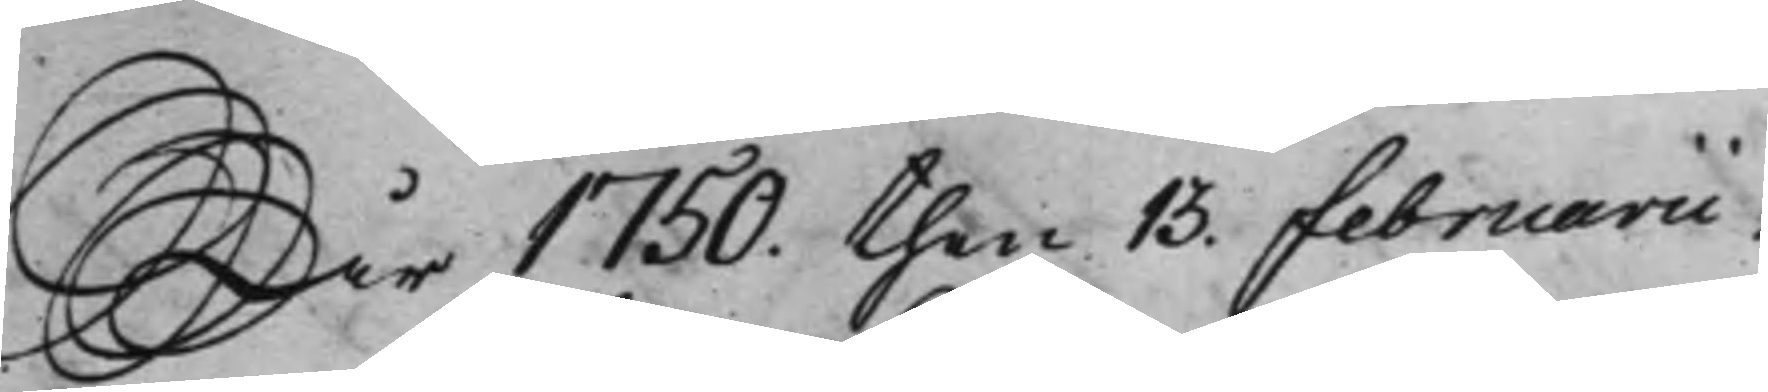År 1750. then 13 Februarii.
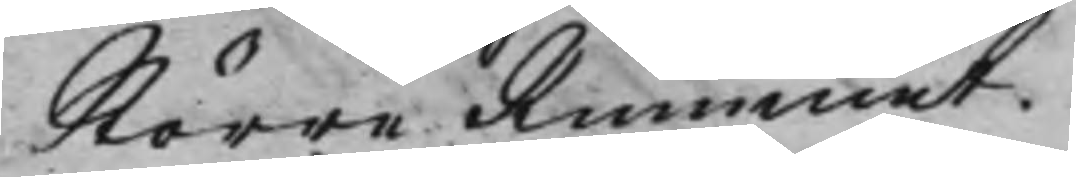Större Rummet.
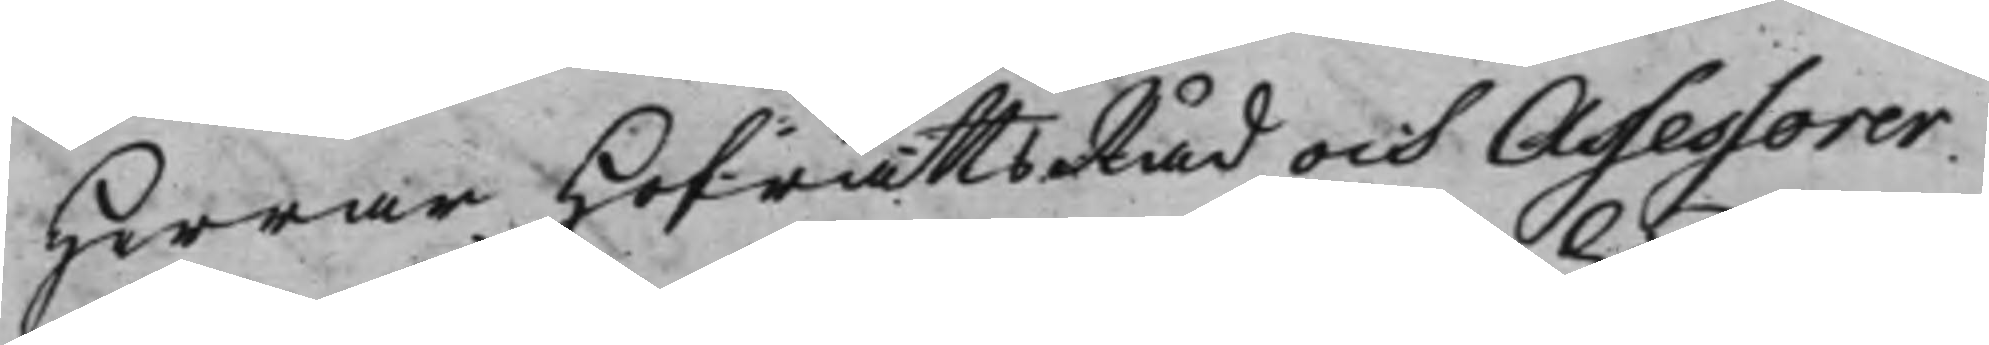Herrar HofrättsRåd och Assessorer.
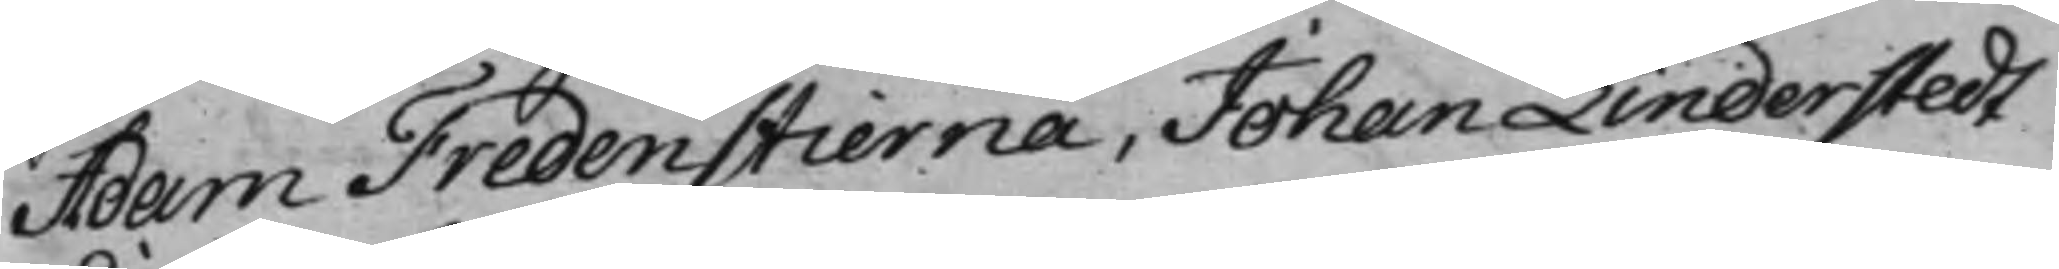Adam Fredenstierna, Johan Linderstedt
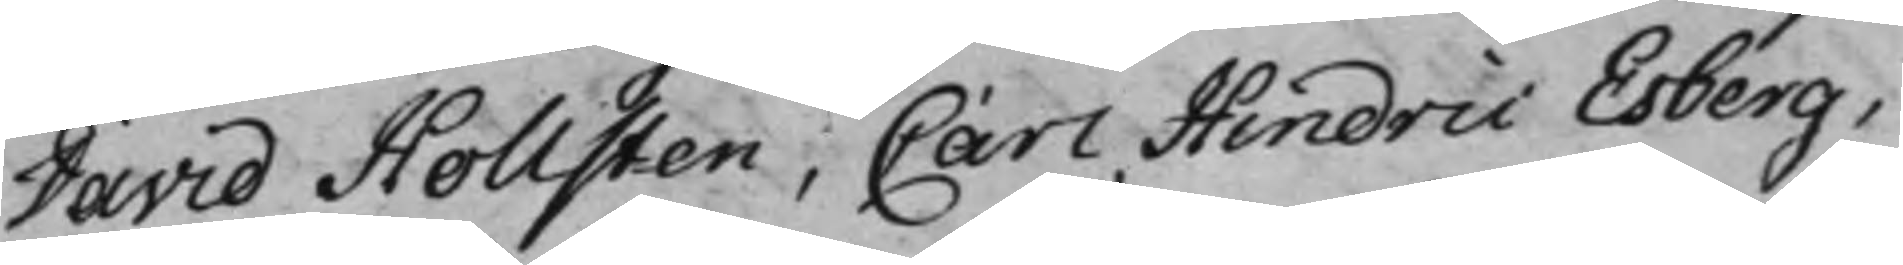David Hollsten, Carl Hindric Esberg,
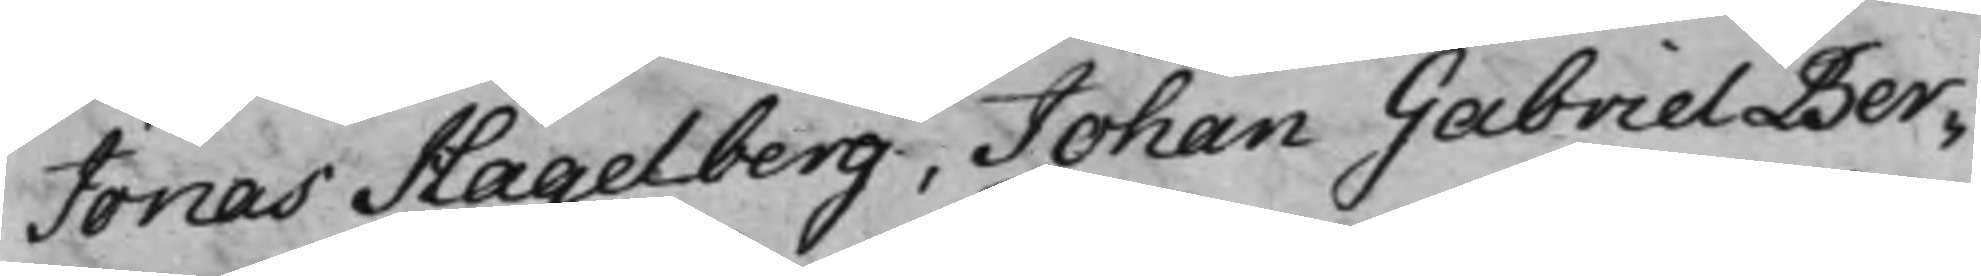Jonas Hagelberg, Johan Gabriel Ber¬
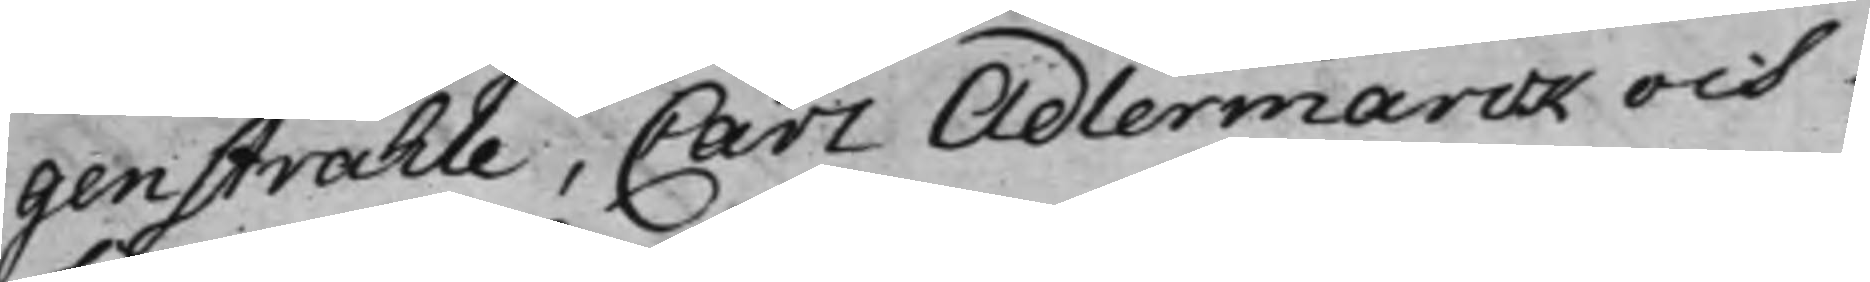genstråhle, Carl Adlermarck och
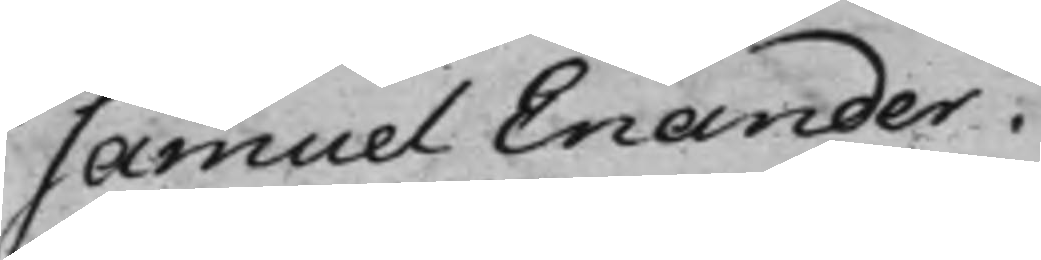Samuel Enander.
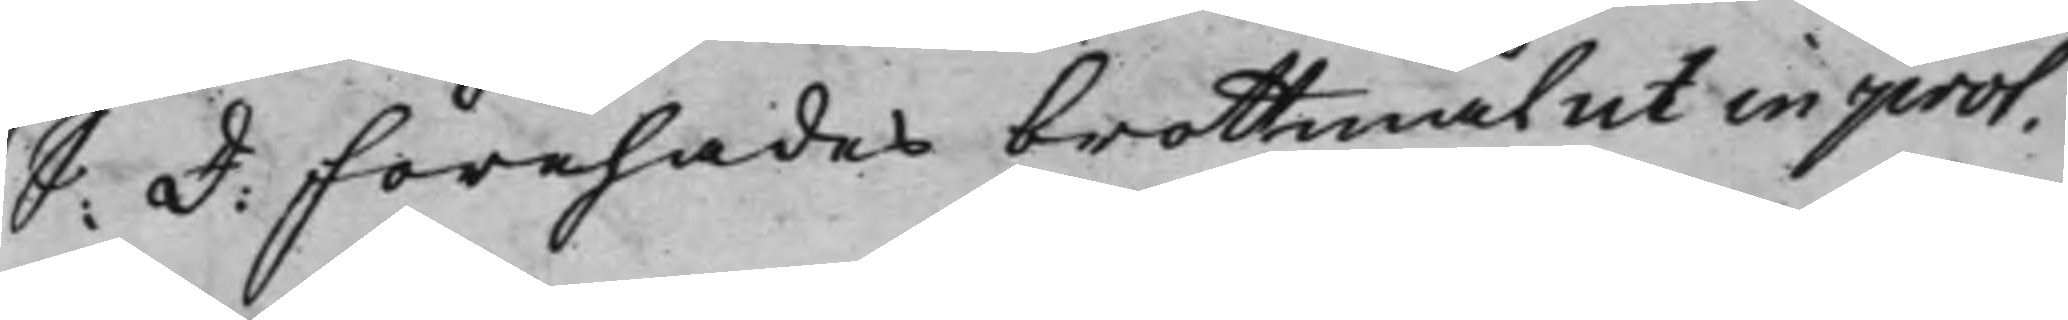S: d: Förehades brottmål ut in prot.
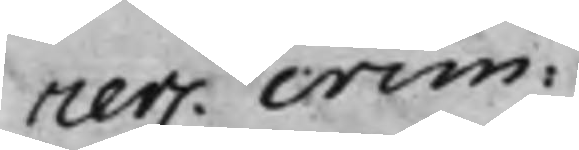rer. crim:
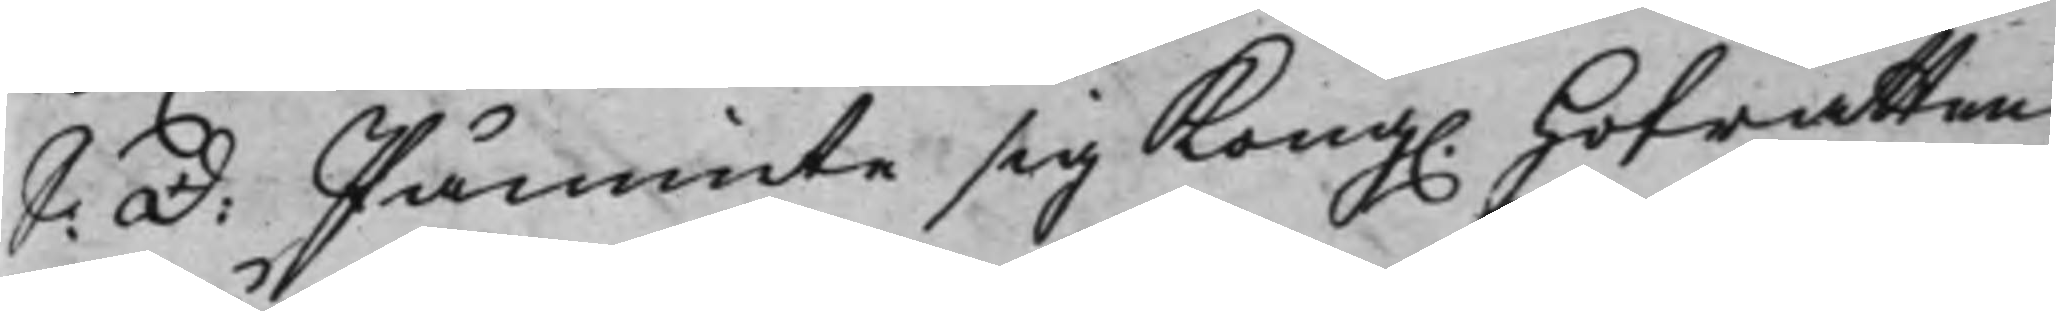S: d: Påminte sig Kong. Hofrätten
